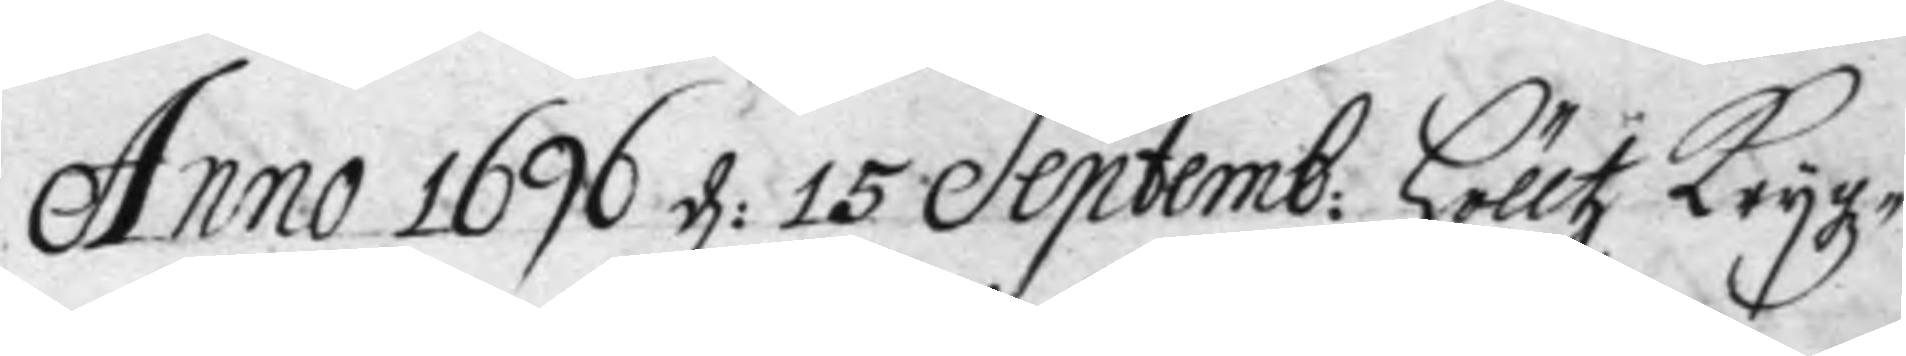Anno 1696 d: 15 Septemb: hölltz Krygz¬
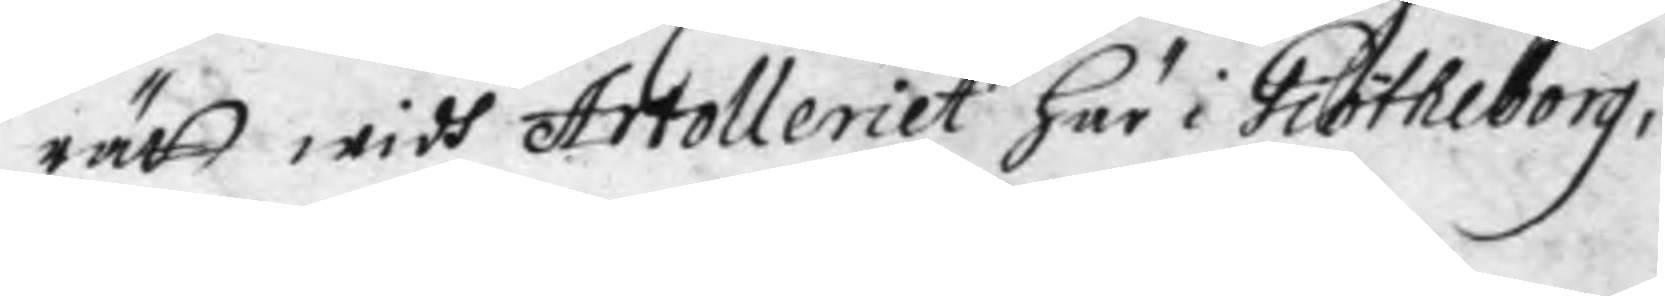rätt widh Artolleriet här i Görtheborg,
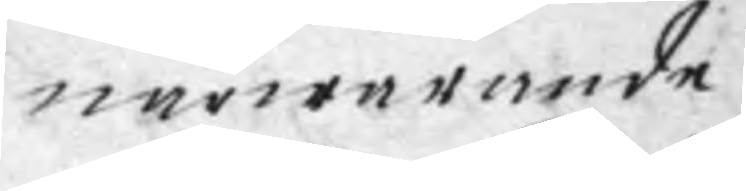närwarande
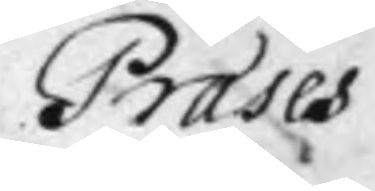Præses
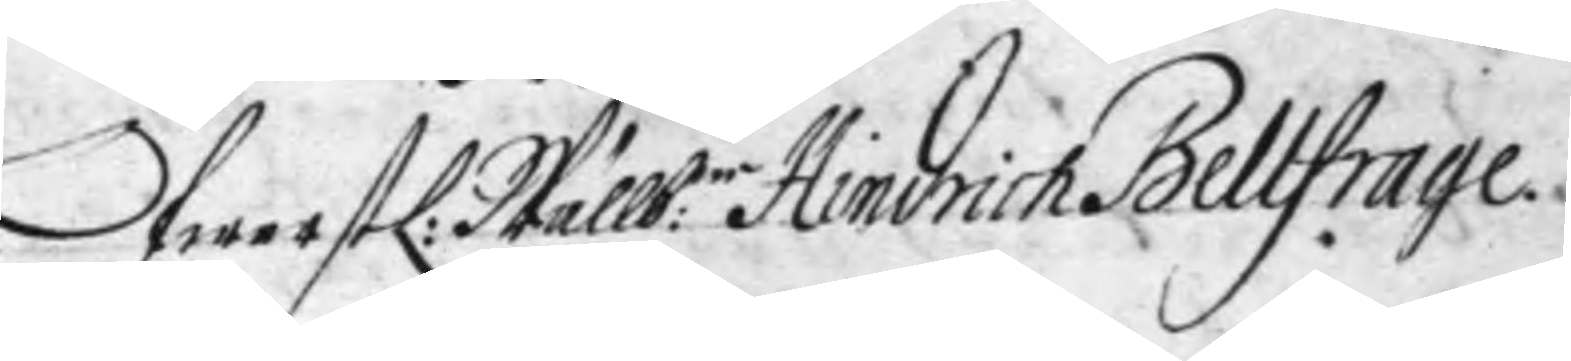ÖfwerstL: Wällb:e Hindrich Bellfrage.
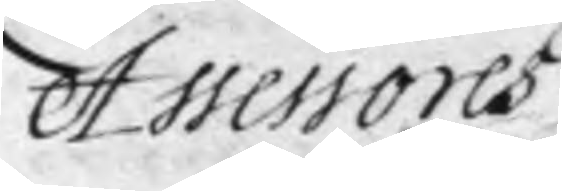Assessores
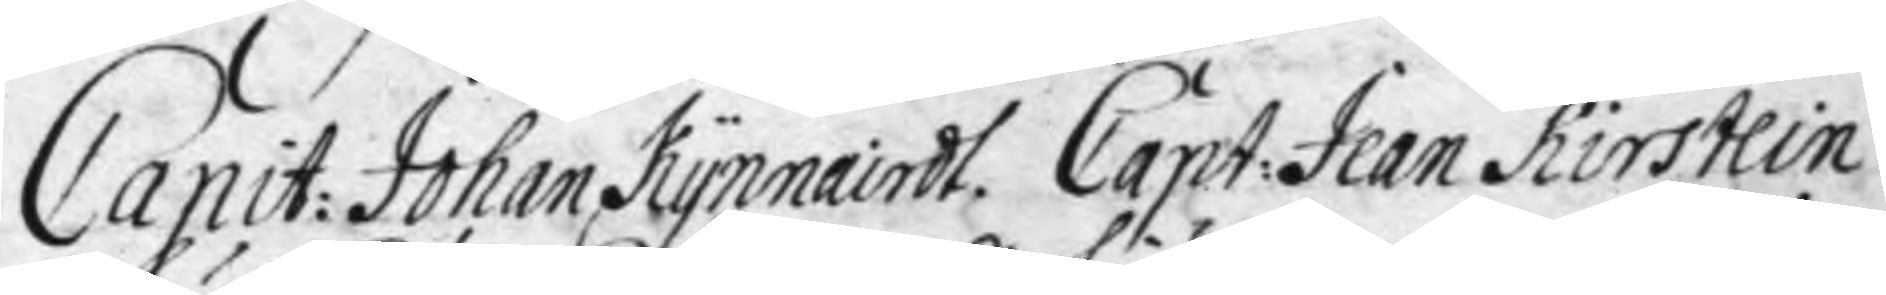Capit: Johan Kynnairdt. Capt: Jean Kirstein
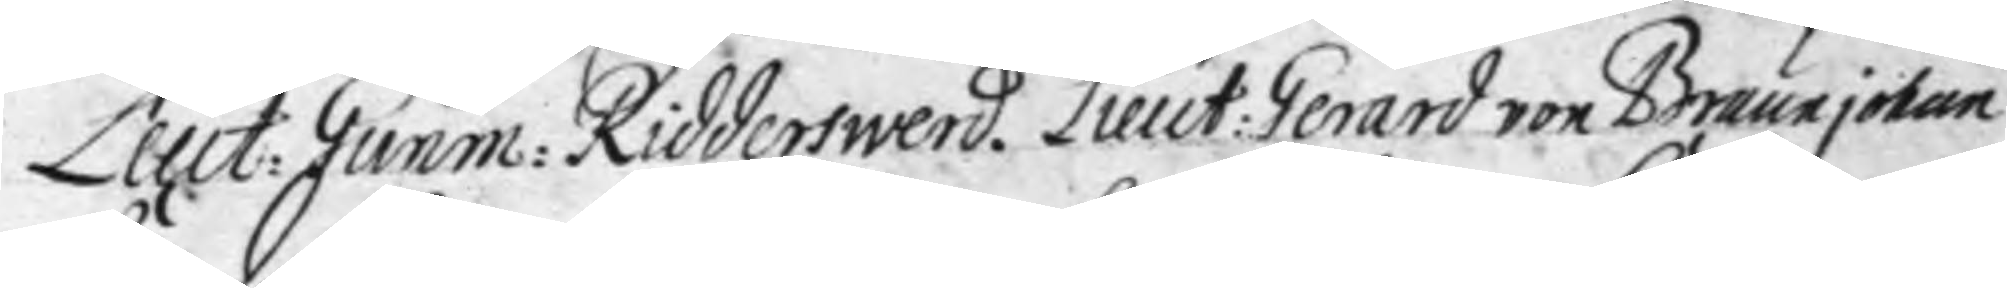Leut: Gunm; Ridderswerd. Lieut: Gerard von Brauejohan
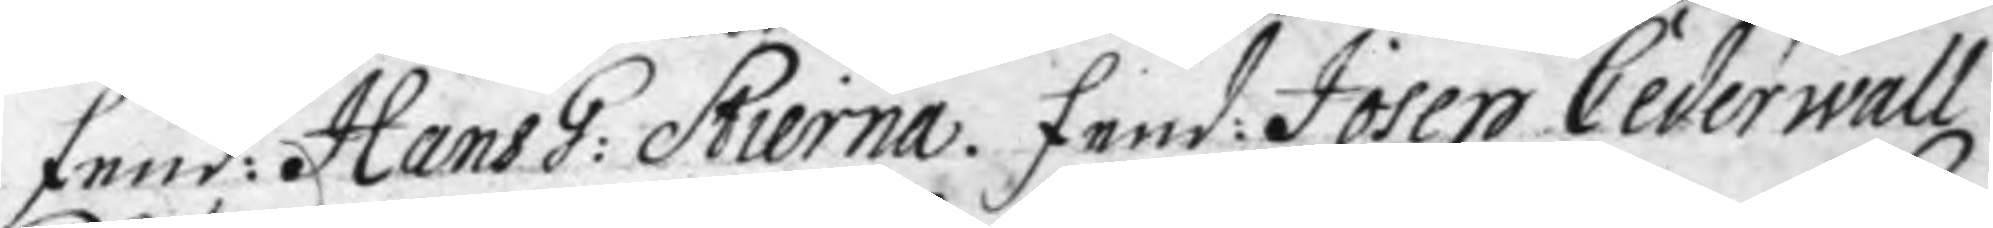Fend: Hans G: Stierne. Fend: Josep Cederwall
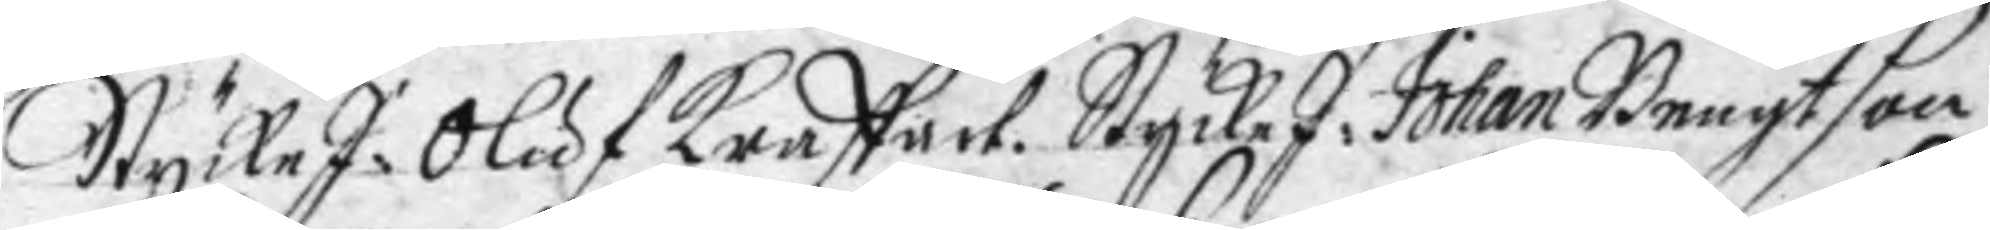StyckeJ: Oluf Kraffart. StyckeJ: Johan Bengtson
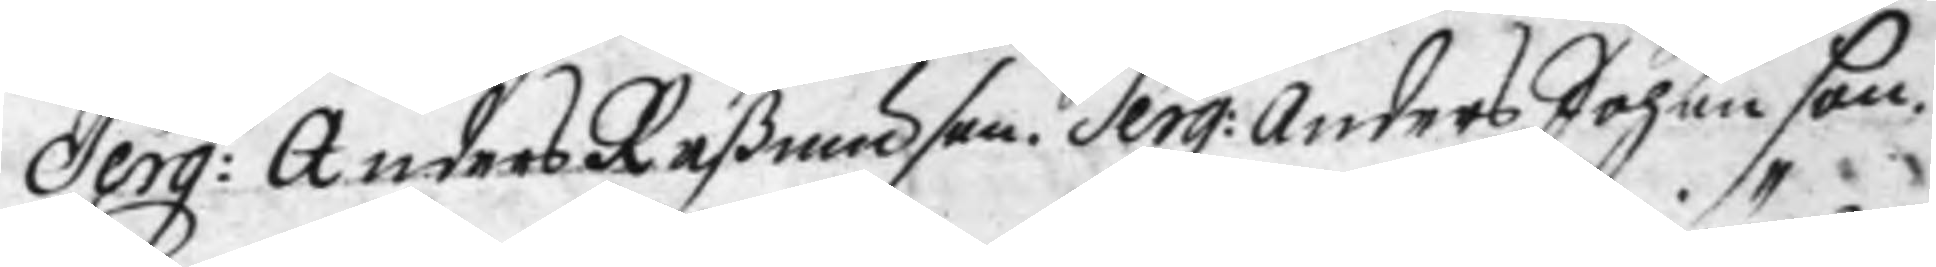Serg: Anders Raßmunson. Serg: Anders Johanson.
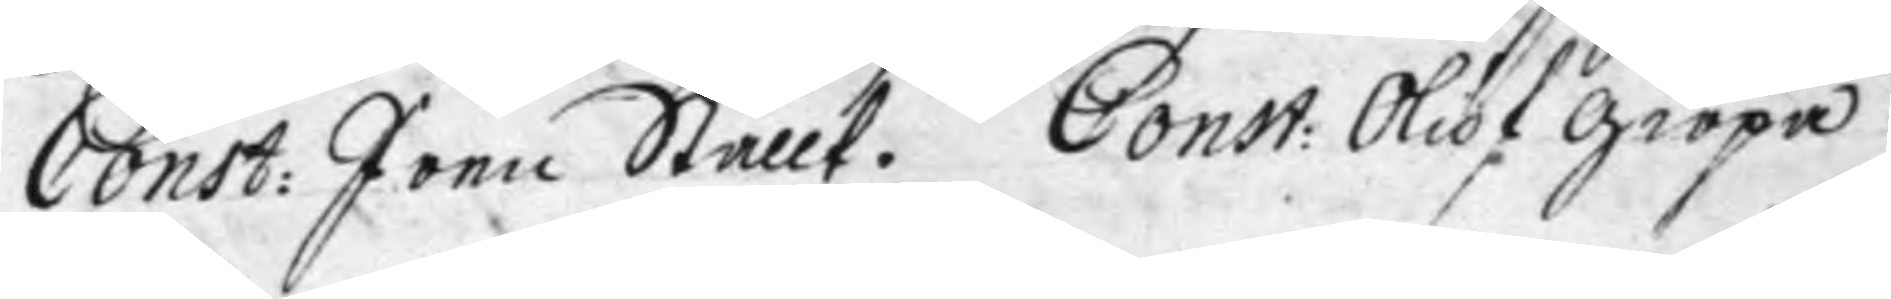Const: Jona Stållt. Const: Oluf giöpa.
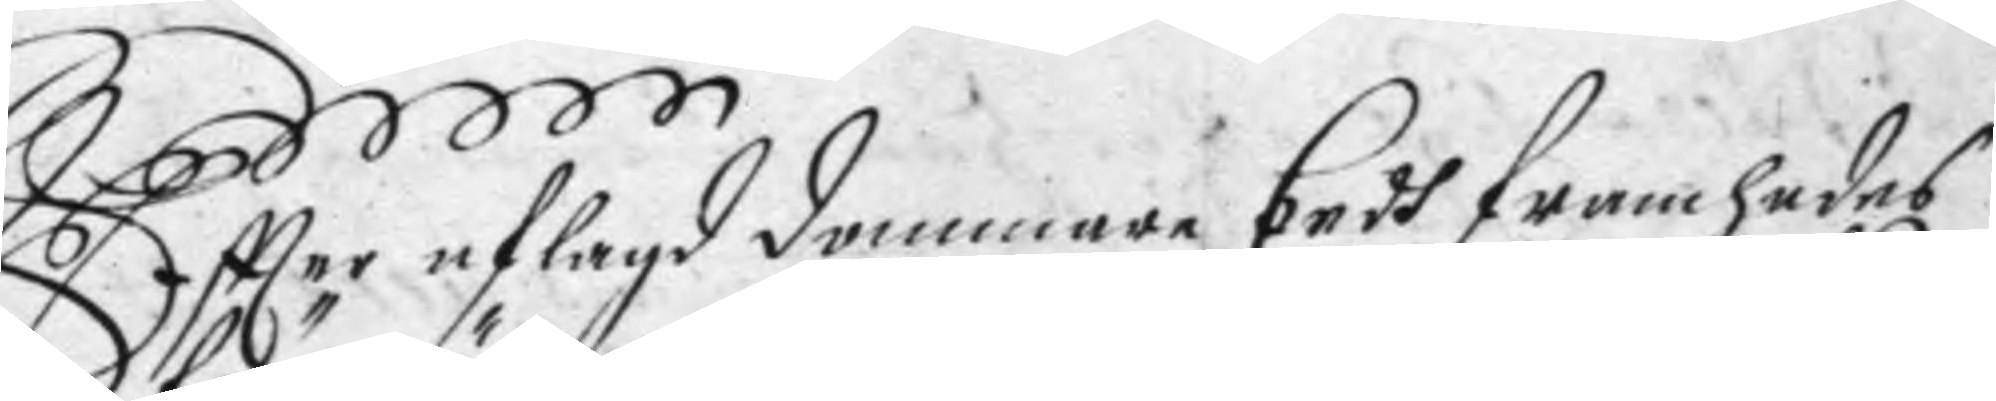Eftter aflagd dommare Eedh framhades
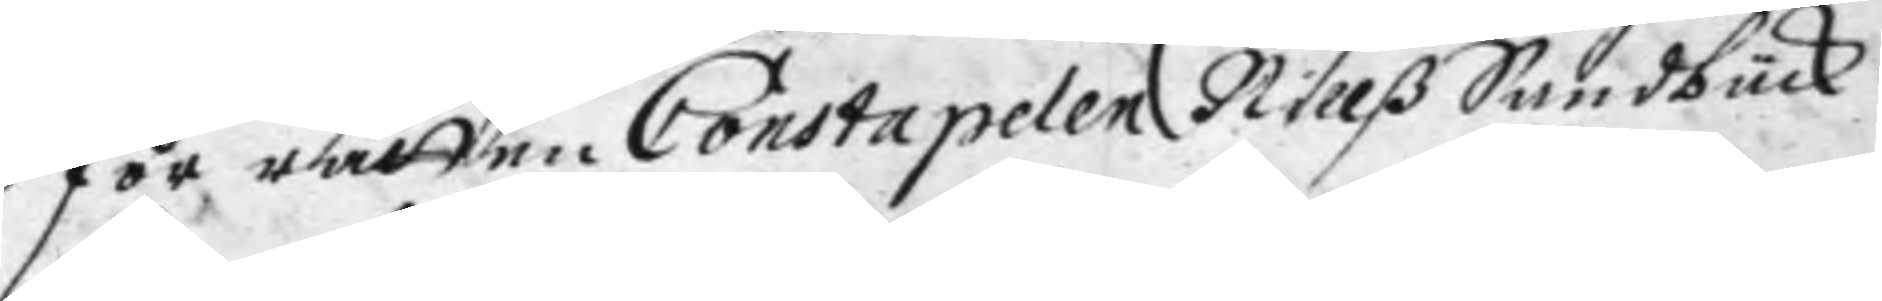för rätten Constapelen Nillß Sandbück
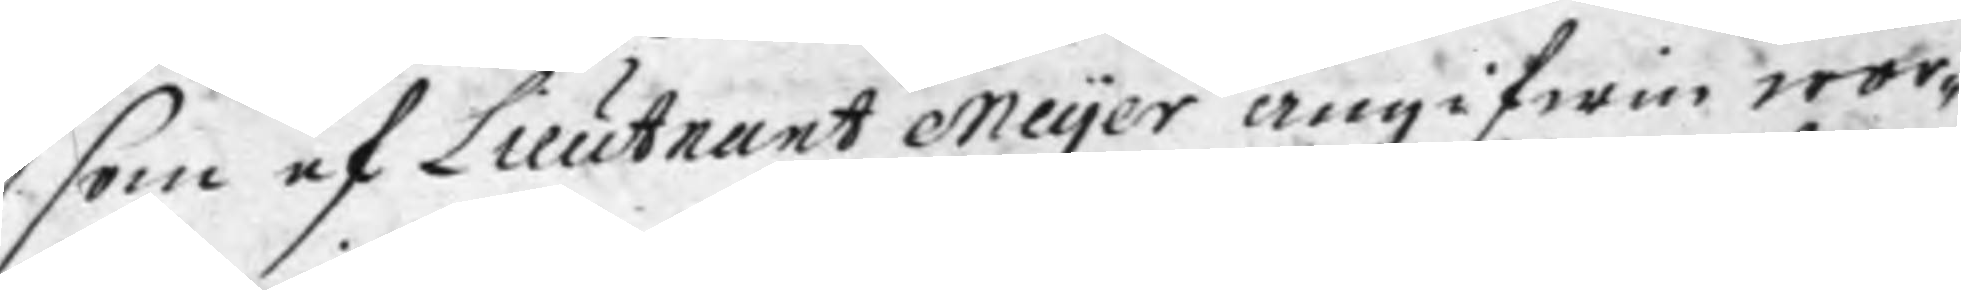som af Lieutnant Meyer angifwen wor¬
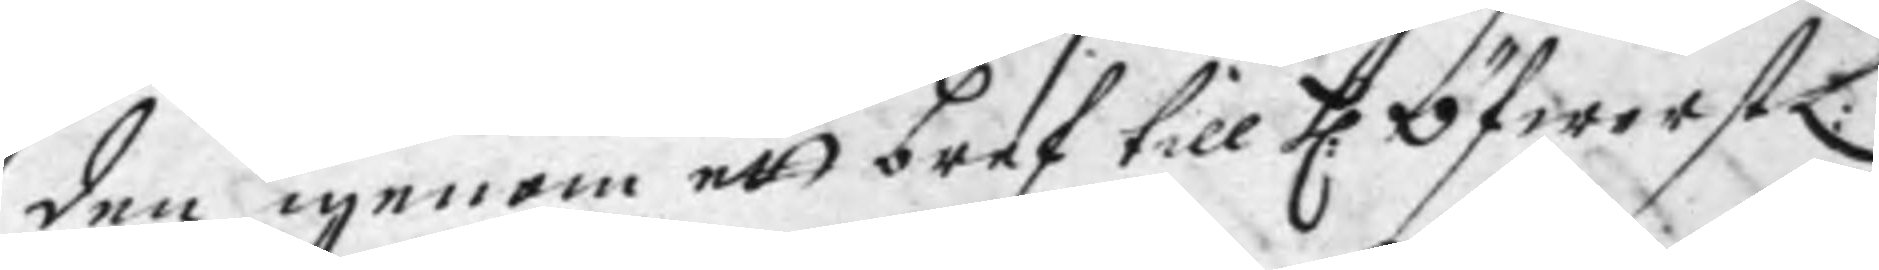den igenom ett bref till H: ÖfwerstL:
